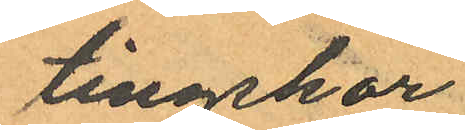tingskor;
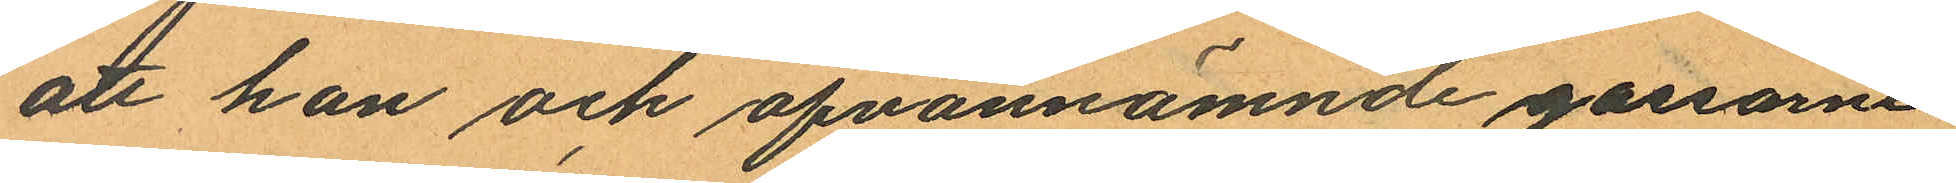att han och ofvannämnde gossare
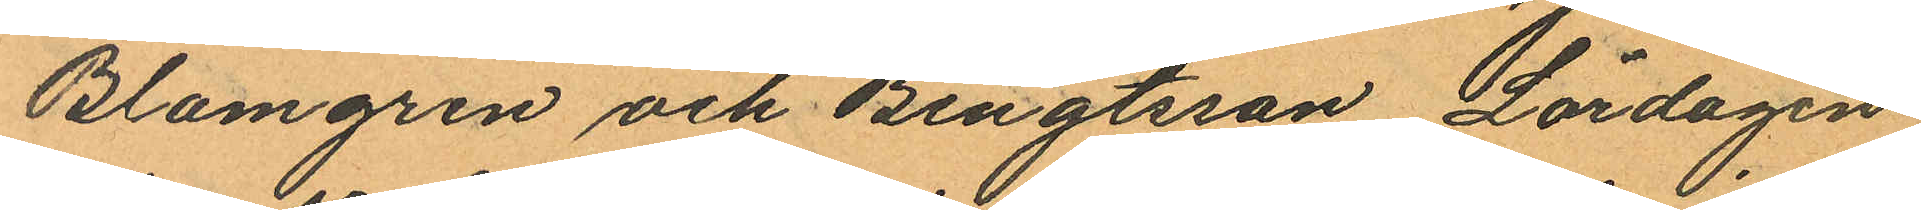Blomgren och Bengtsson Lördagen
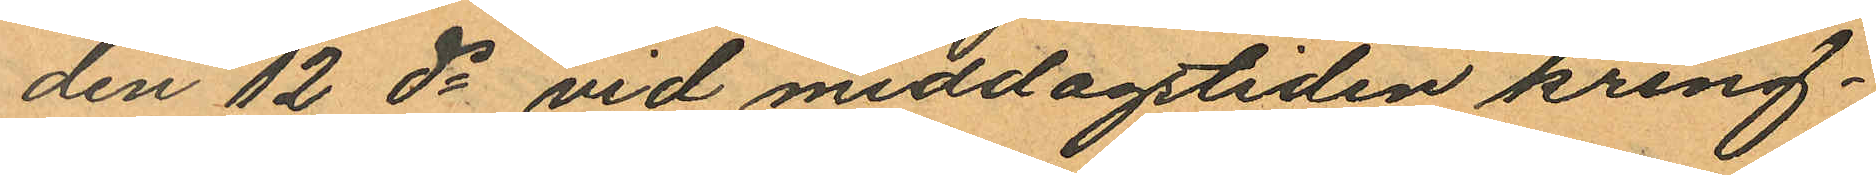den 12 ds vid middagstiden kring¬
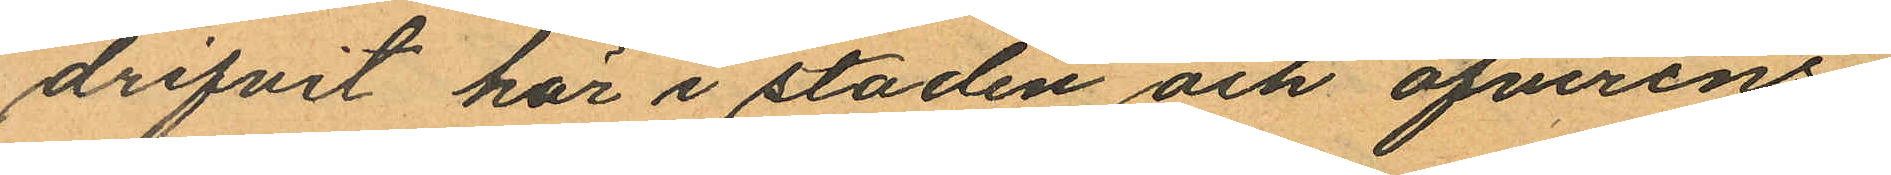drifvit här i staden och öfverens
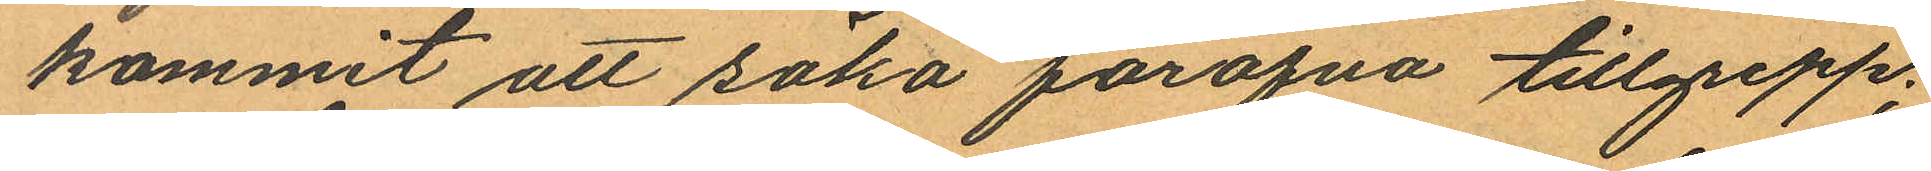kommit att söka föröfva tillgrepp;
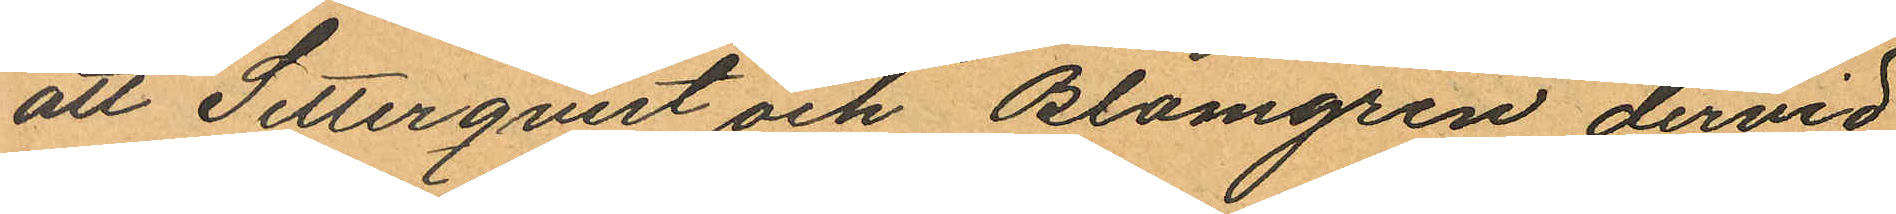att Setterqvist och Blomgren dervid
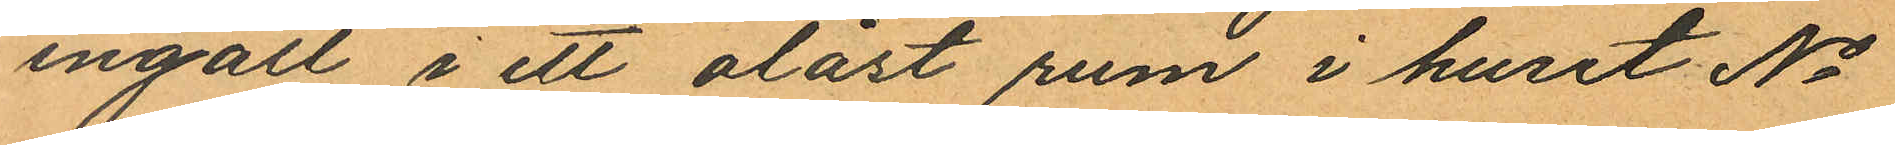ingått i ett olåst rum i huset No
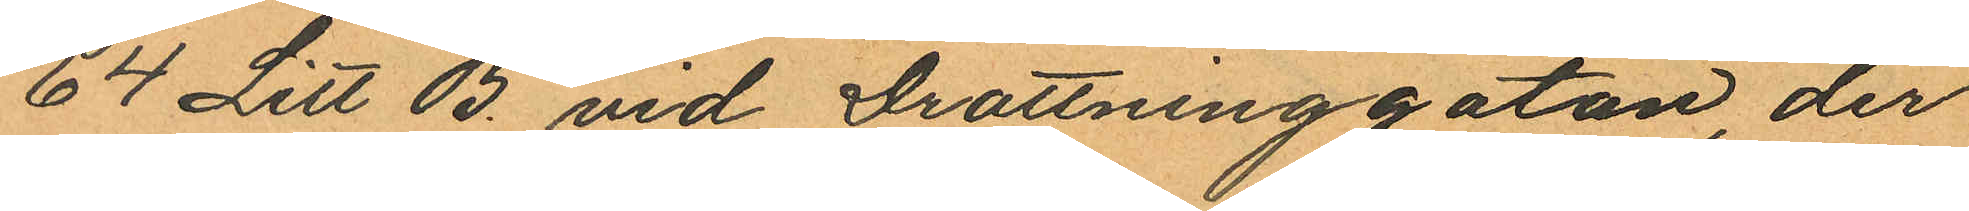64 Litt B. vid Drottninggatan, der
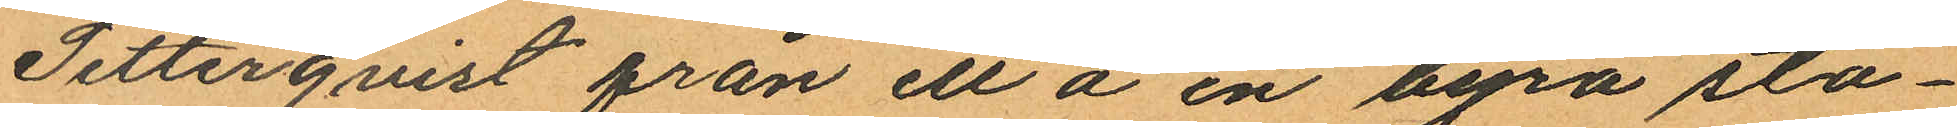Setterqvist från ett å en byrå stå¬
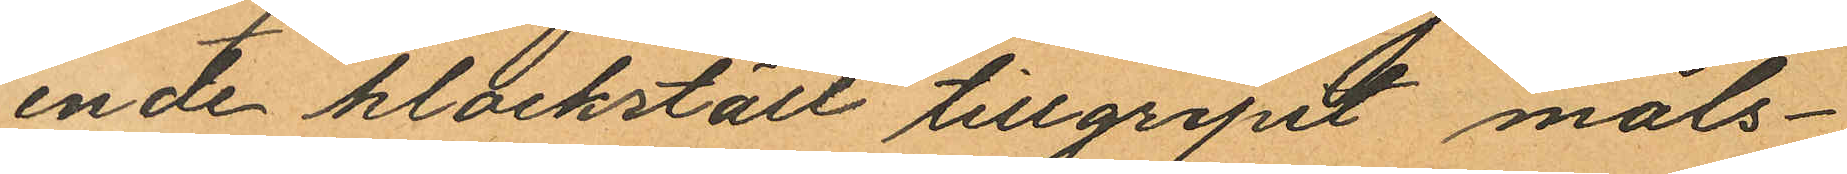ende klockställ tillgripit måls¬
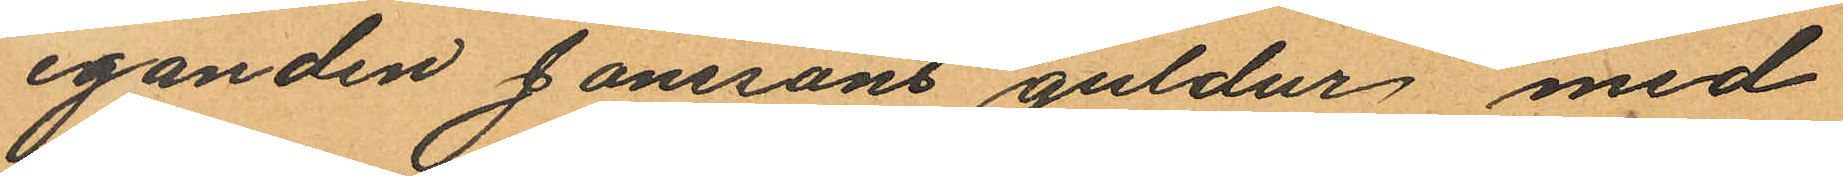eganden Jönssons guldur med
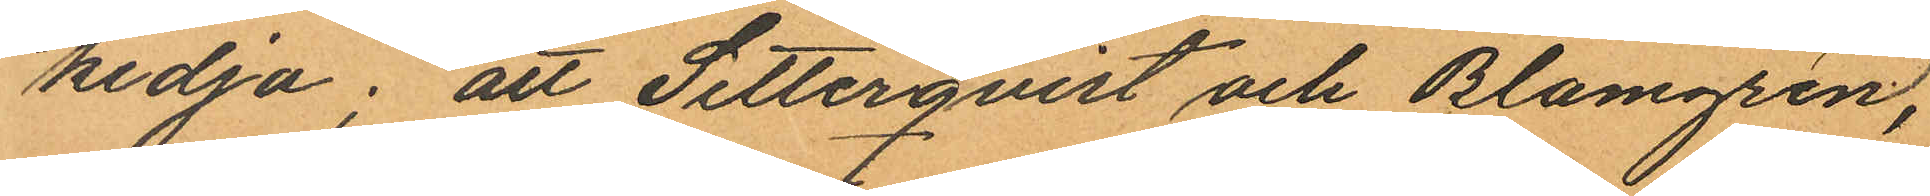kedja; att Setterqvist och Blomgren,
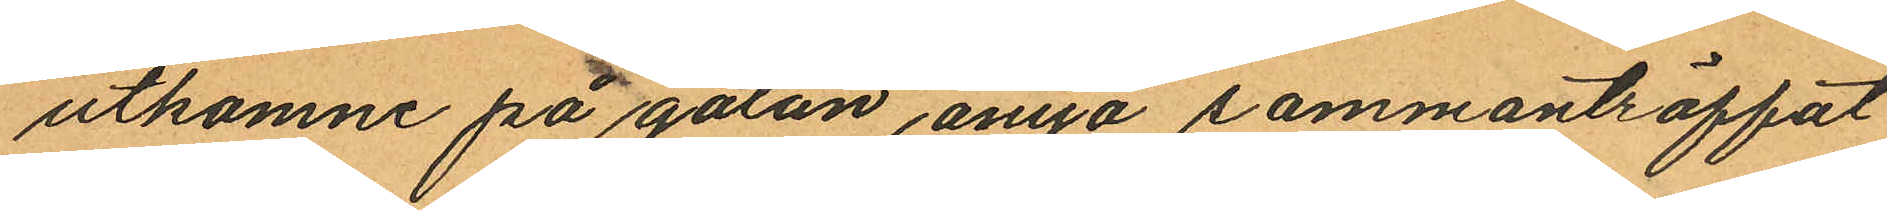utkomne på gatan ånyo sammanträffat
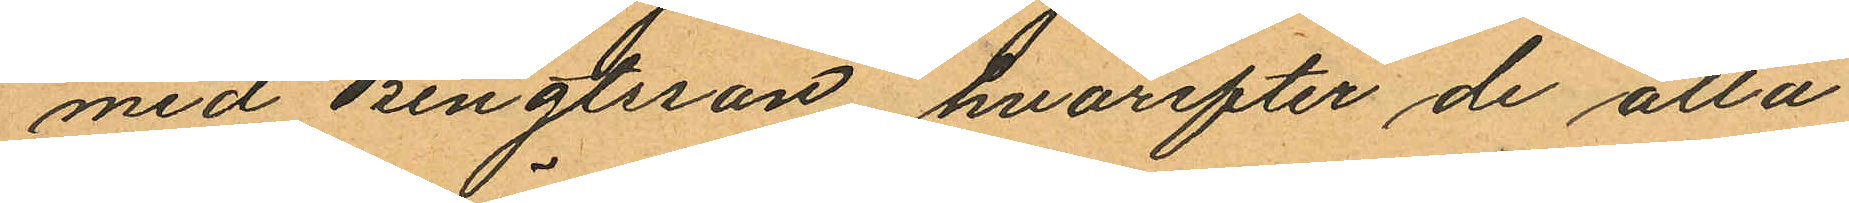med Bengtsson hvarefter de alla
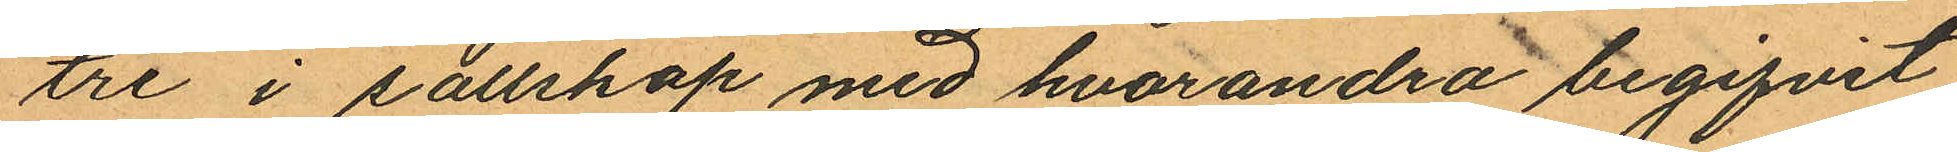tre i sällskap med hvarandra begifvit
